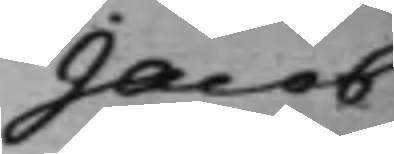Jacob
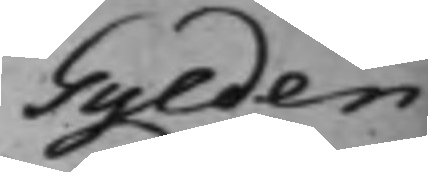Gylden¬
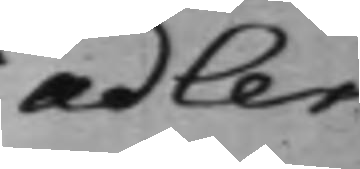adler
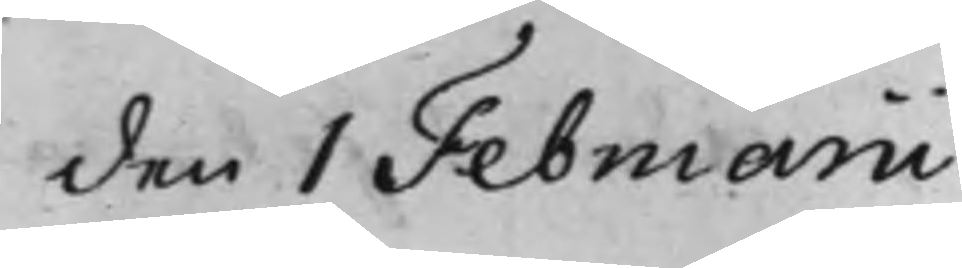den 1 Februarii
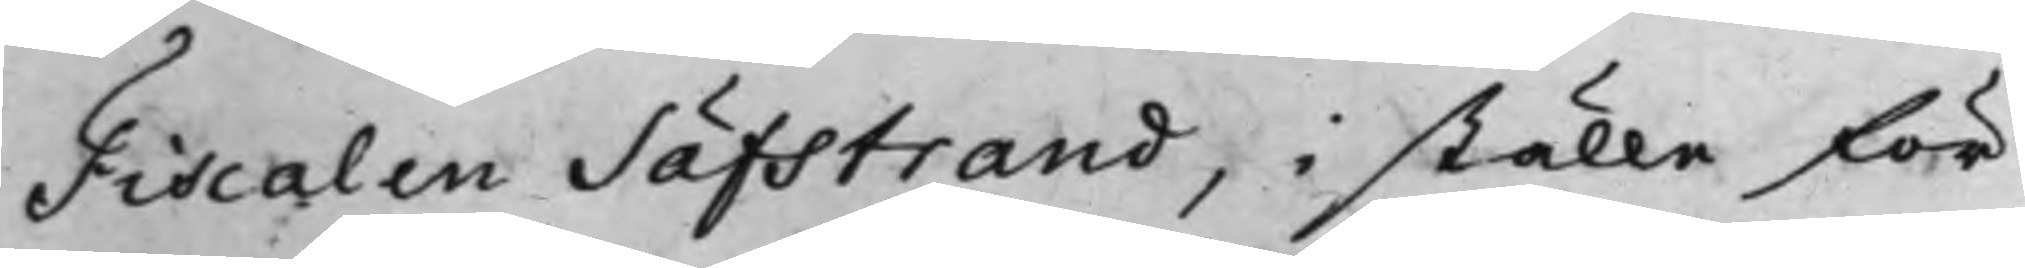Fiscalen Säfstrand, i ställe för
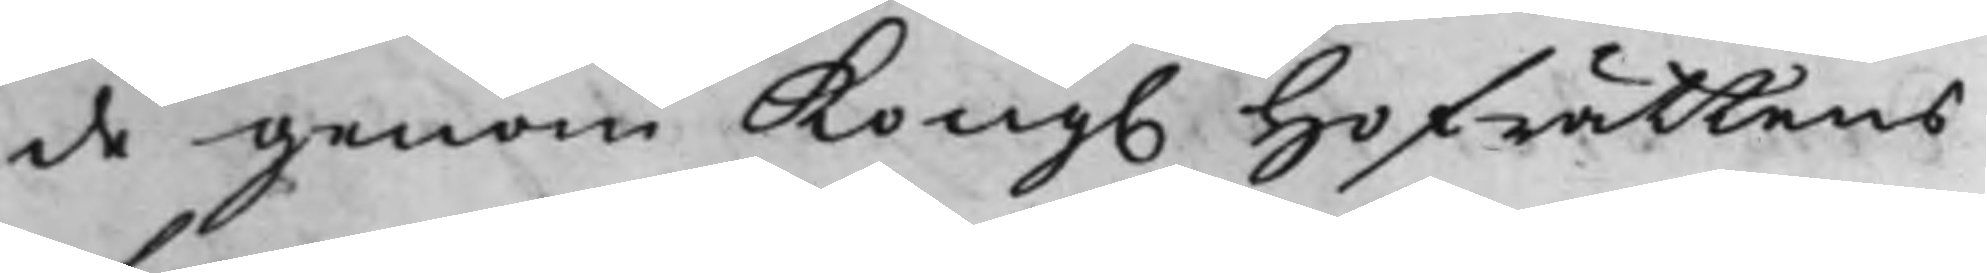de genom Kong. Hofrättens
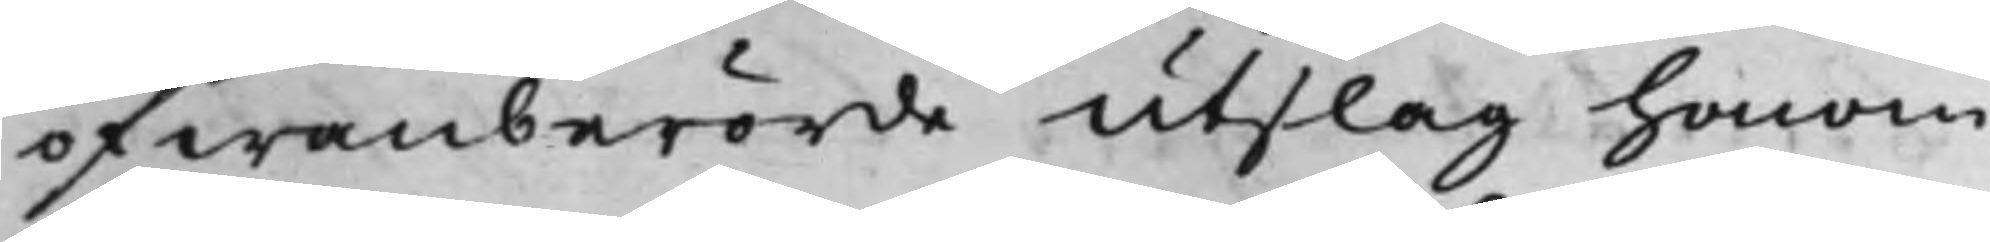ofwanberörde Utslag honom
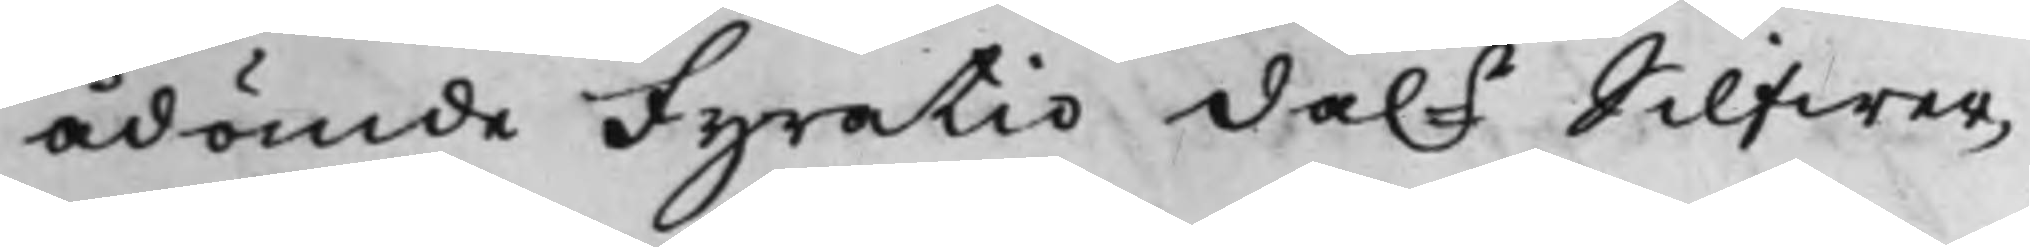ådömde Fyratio da.r Silfwer¬
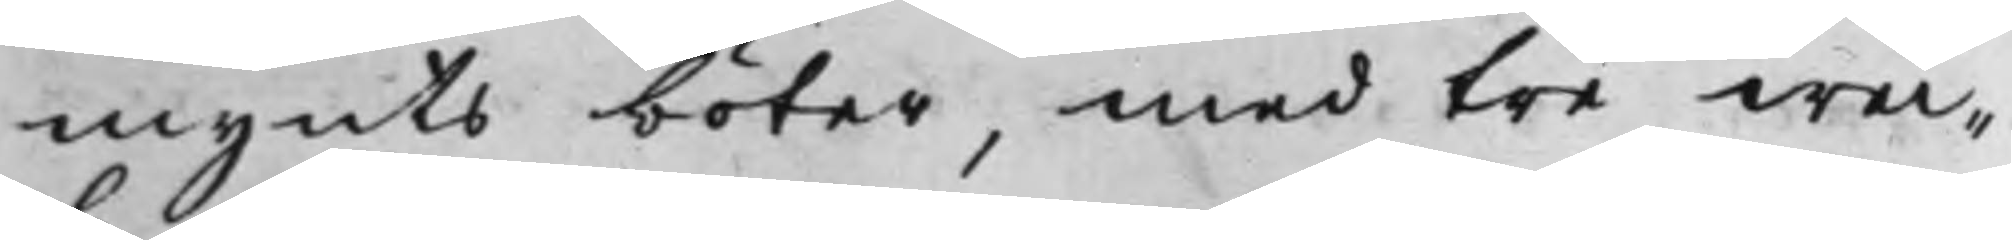mynts böter, med tre wec¬
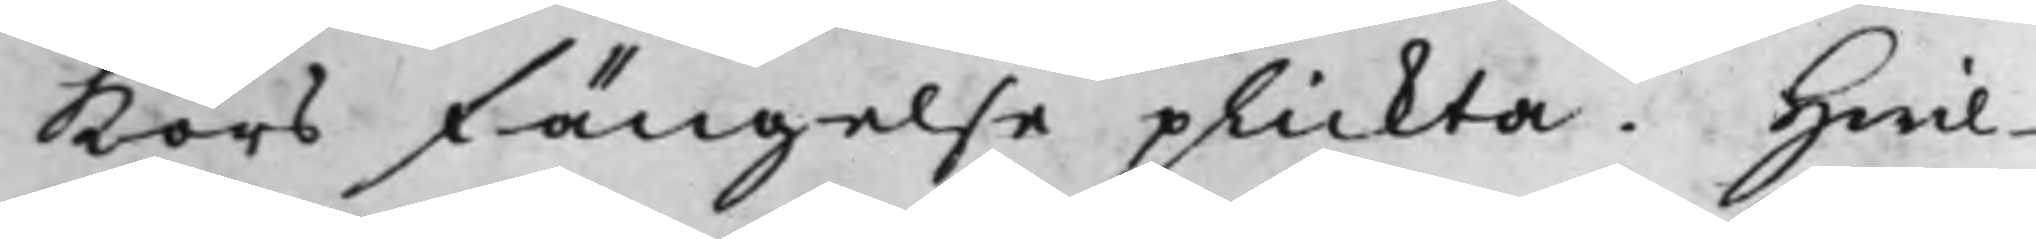kors fängelse plickta. Hwil¬
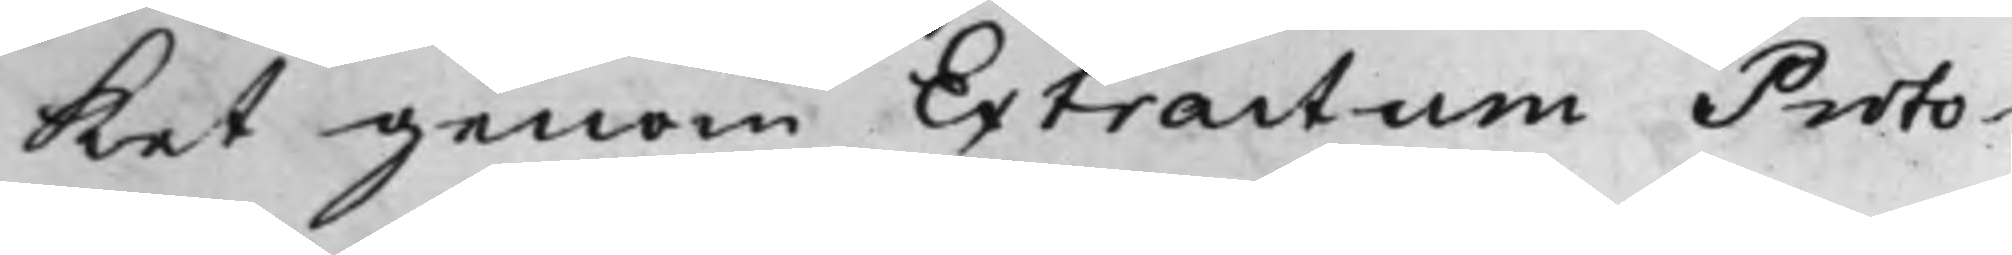ket genom Extractum Proto¬
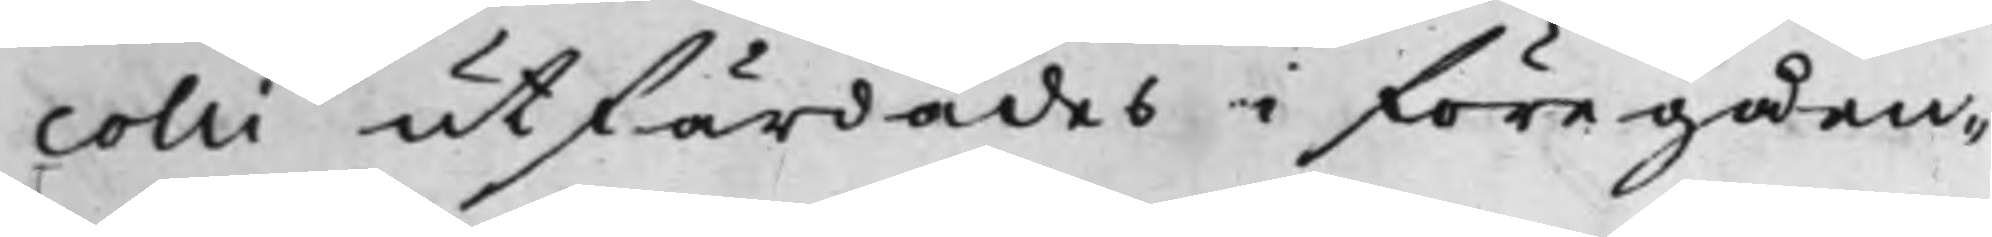colli utfärdades i föregåen¬
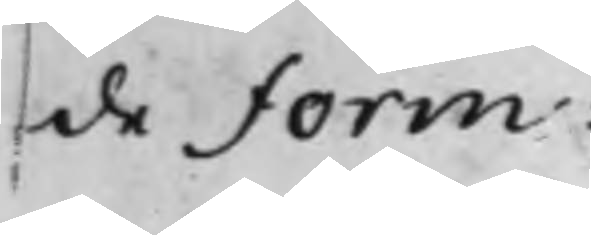de Form.
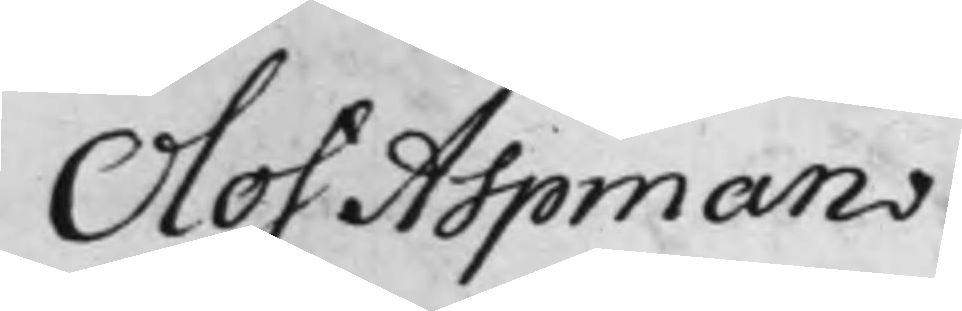Olof Aspman
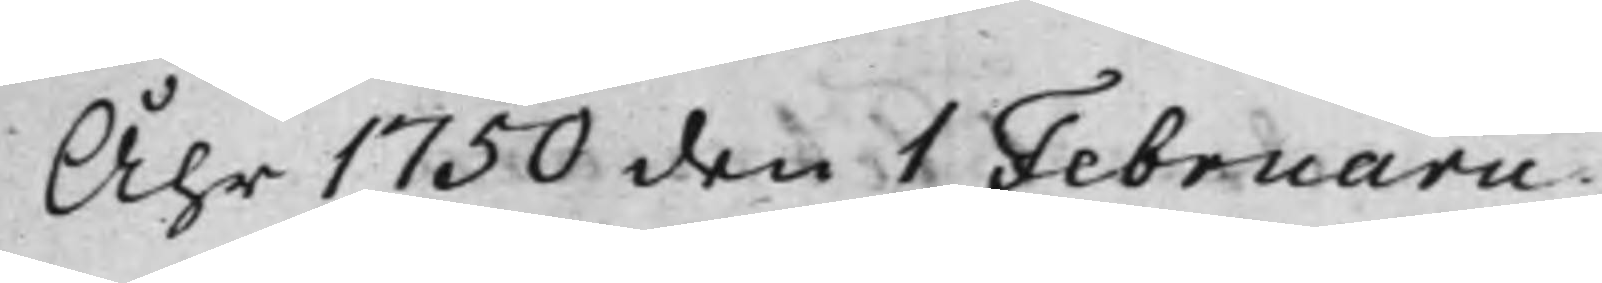Åhr 1750 den 1 Februarii
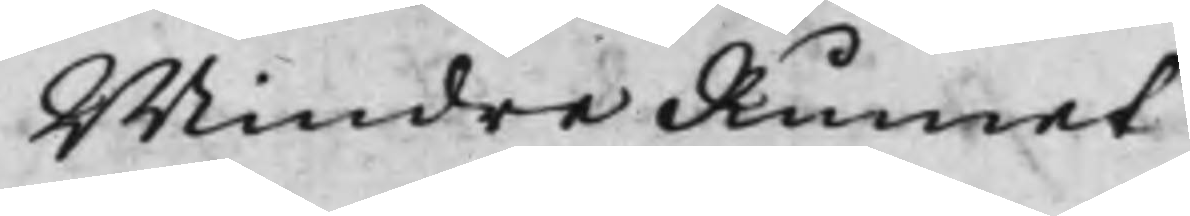Mindre Rumet.
